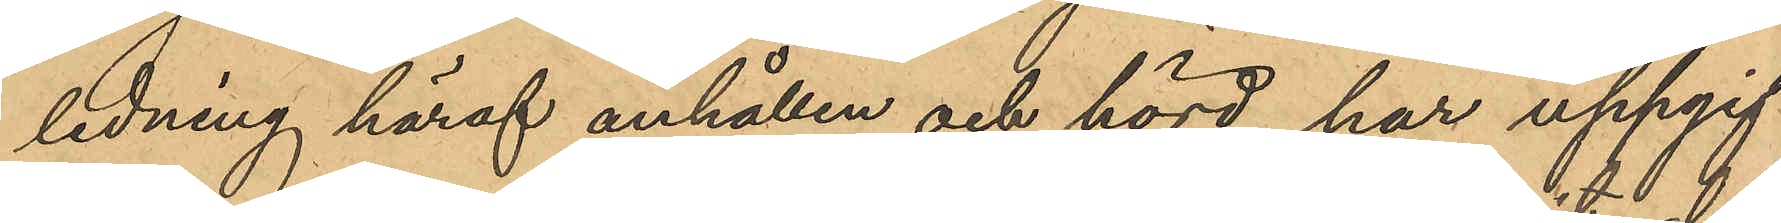ledning häraf anhållen och hörd har uppgif¬
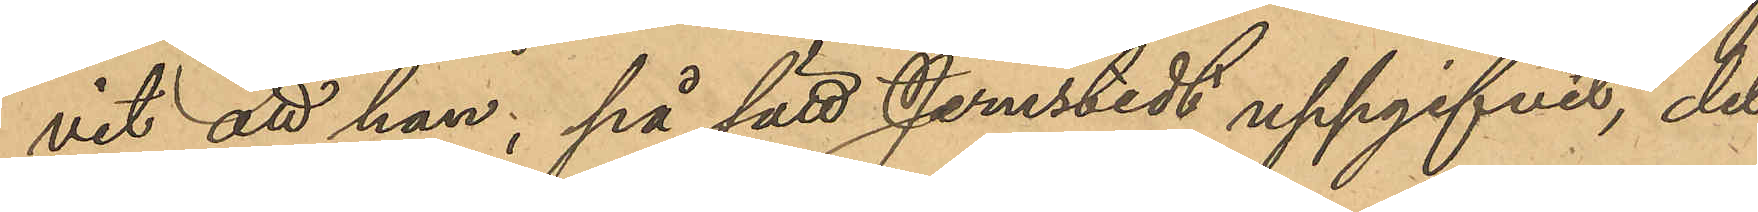vit att han; på sätt Jernstedt uppgifvit, del¬
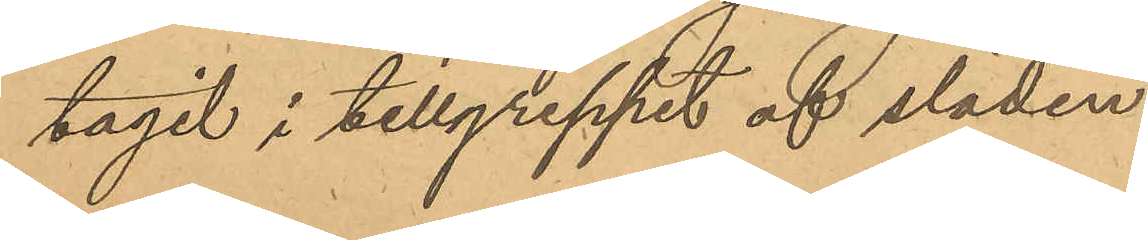tagit i tillgreppet af släden.
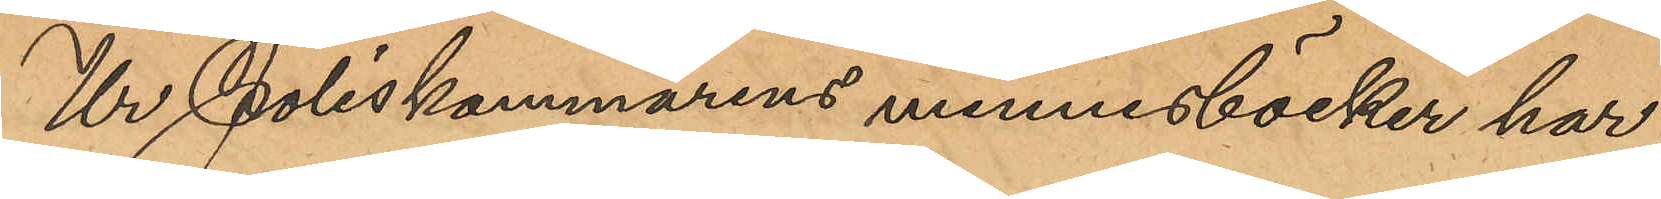Ur Poliskammarens minnesböcker har
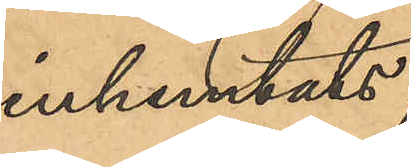inhemtats,
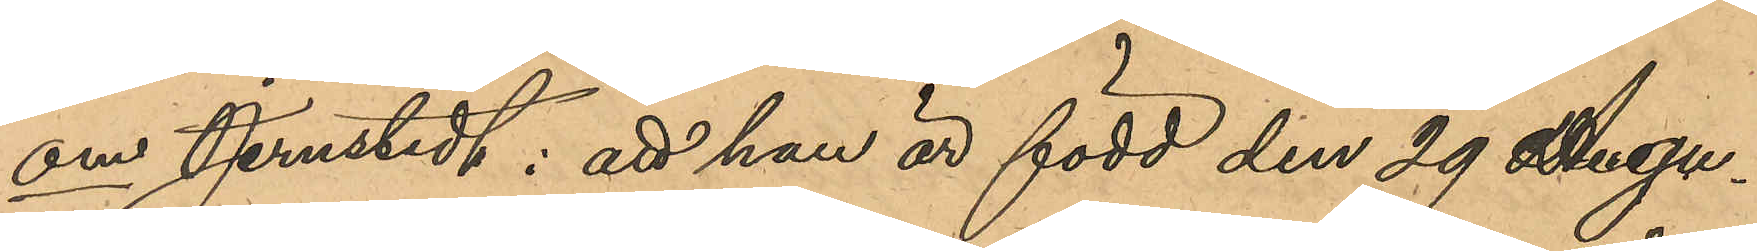om Jernstedt: att han är född den 29 Augu¬
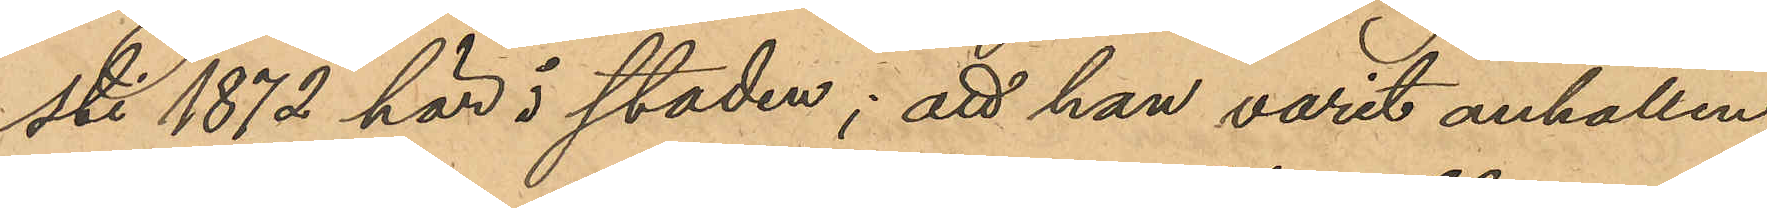sti 1872 här i staden; att han varit anhållen,
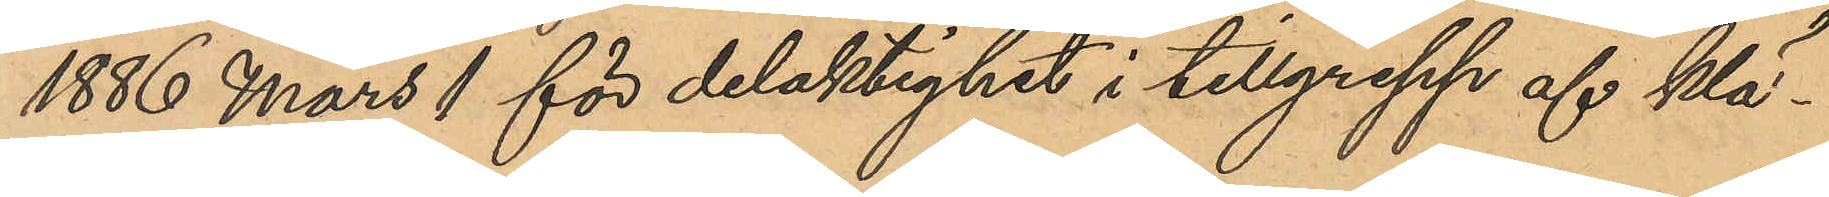1886 Mars 1 för delaktighet i tillgrepp af klä¬
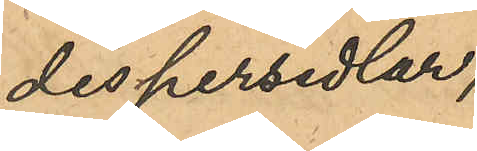despersedlar;
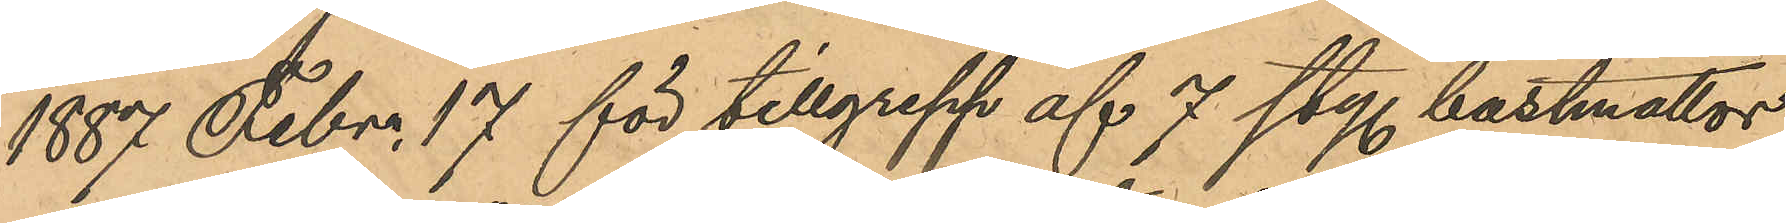1887 Febr. 17 för tillgrepp af 7 sty. bastmattor
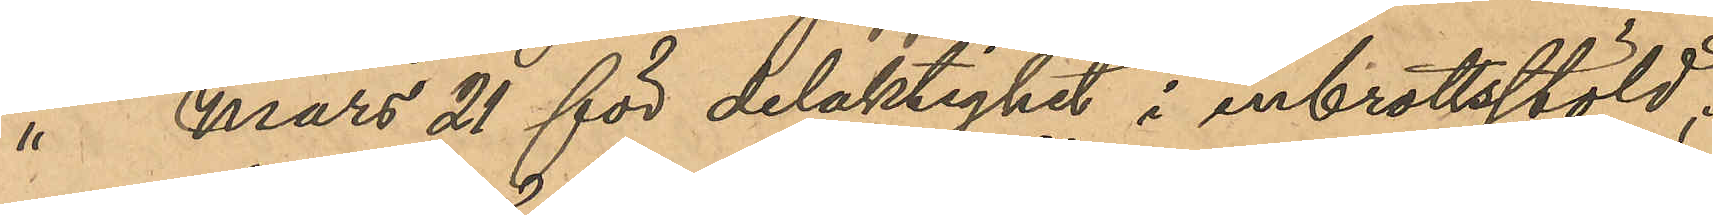" Mars 21 för delaktighet i inbrottsstöld;
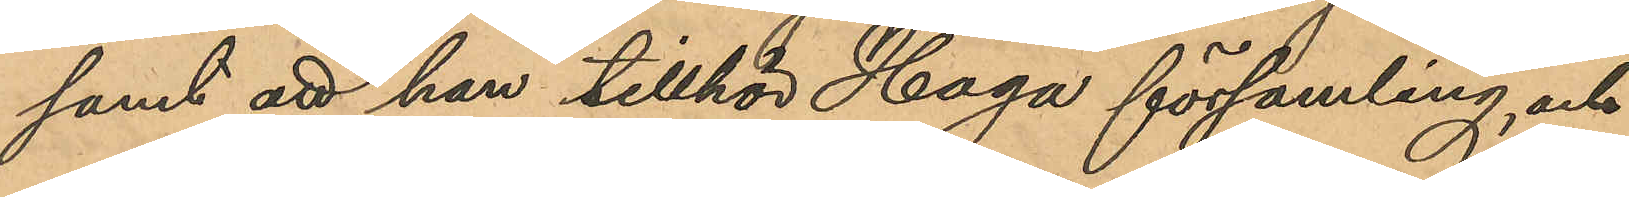samt att han tillhör Haga församling, och
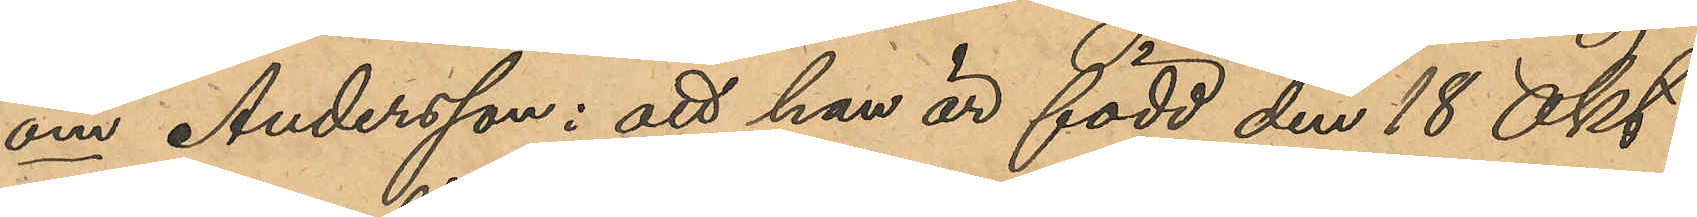om Andersson: att han är född den 18 Okt.
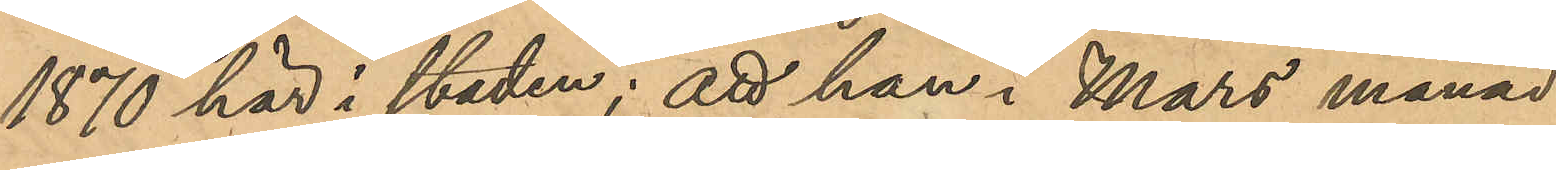1870 här i staden; att han i Mars månad
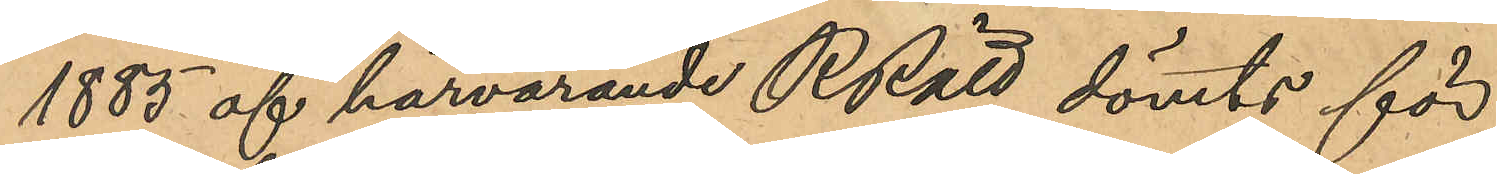1885 af härvarande RRätt dömts för
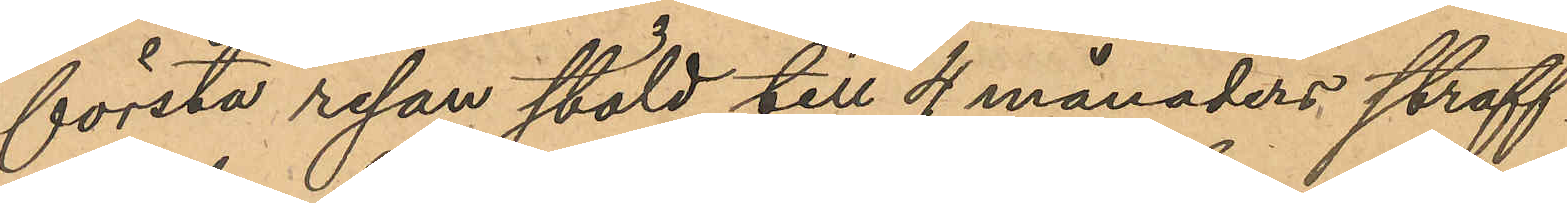första resan stöld till 4 månaders straff¬
